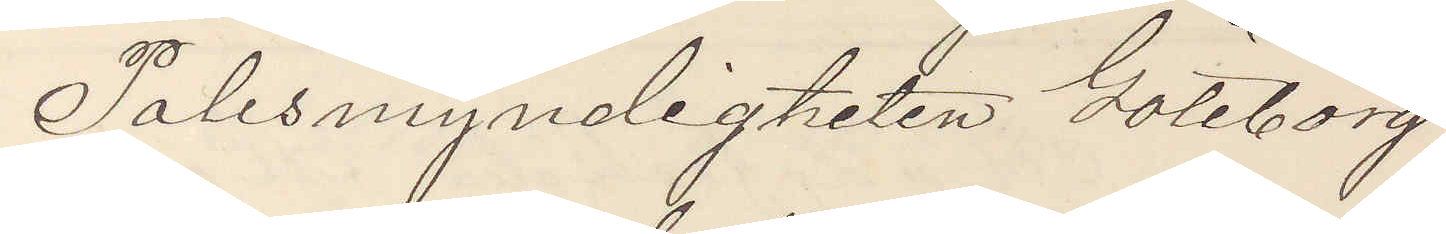Polismyndigheten Göteborg
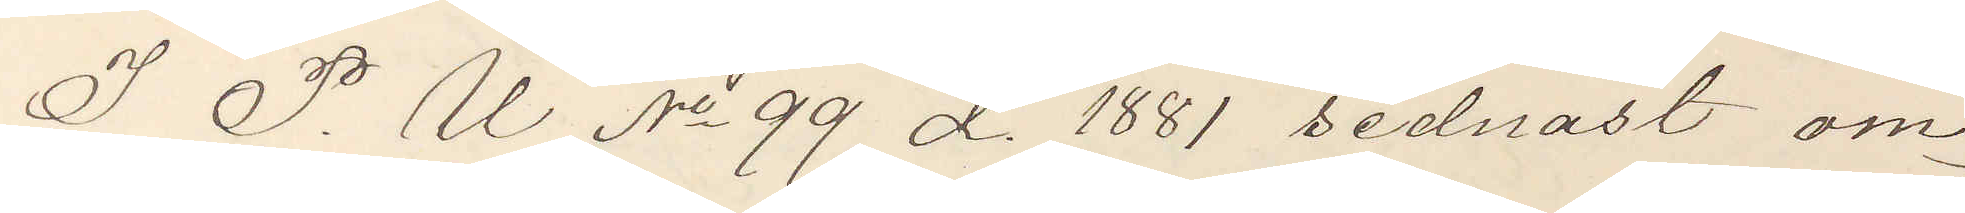I P. U. No 99 d. 1881 sednast om¬
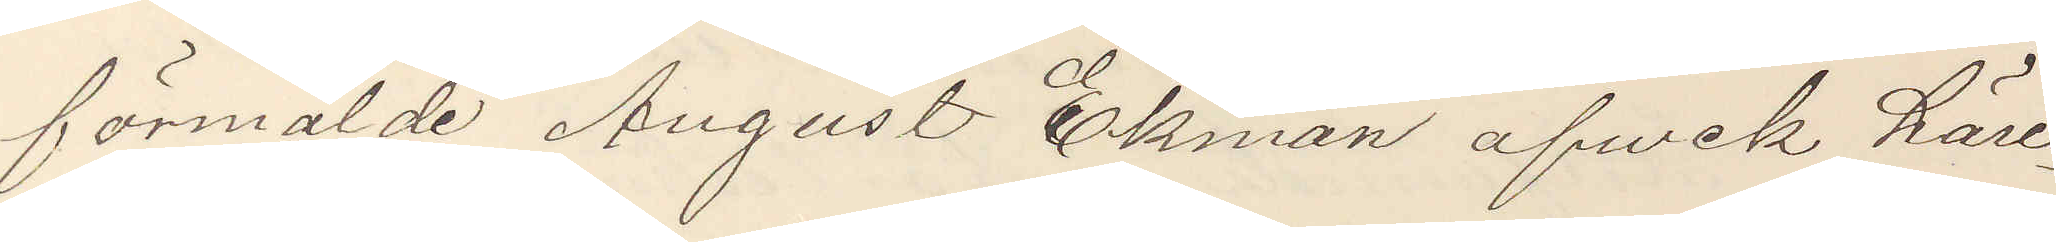förmälde August Ekman afvek häri¬
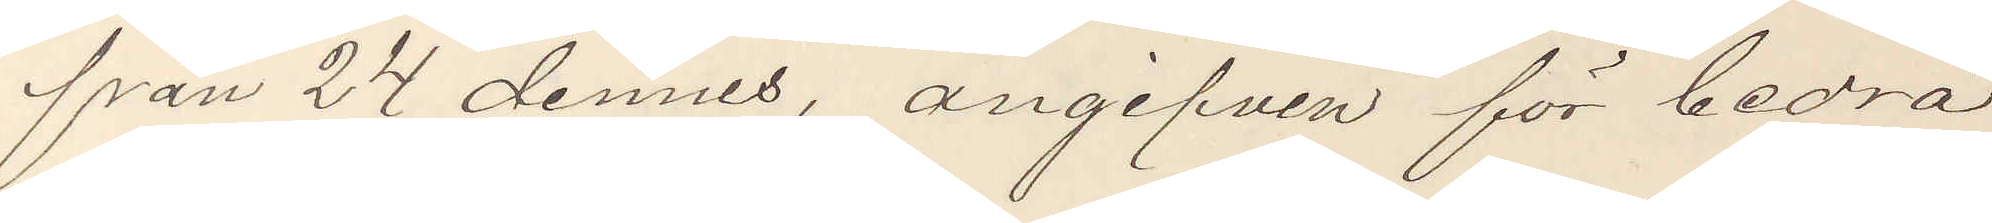från 24 dennes, angifven för bedrä¬
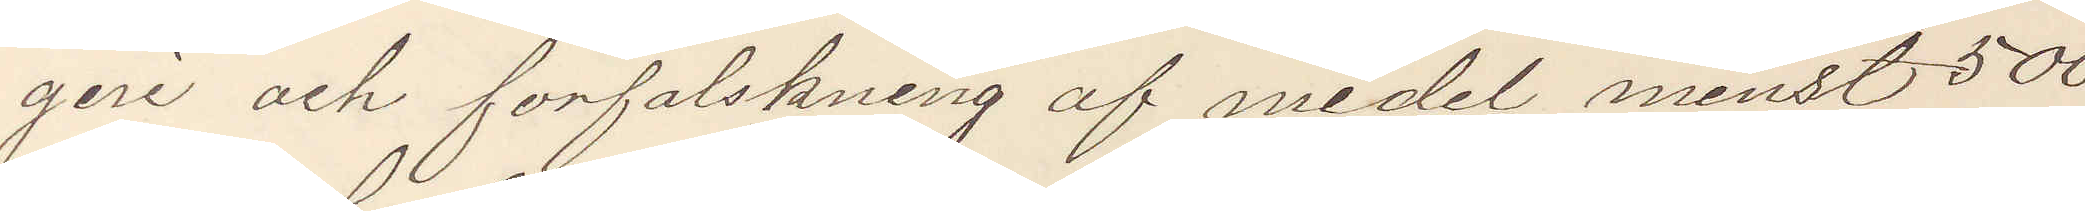geri och förfalskning af medel minst 500
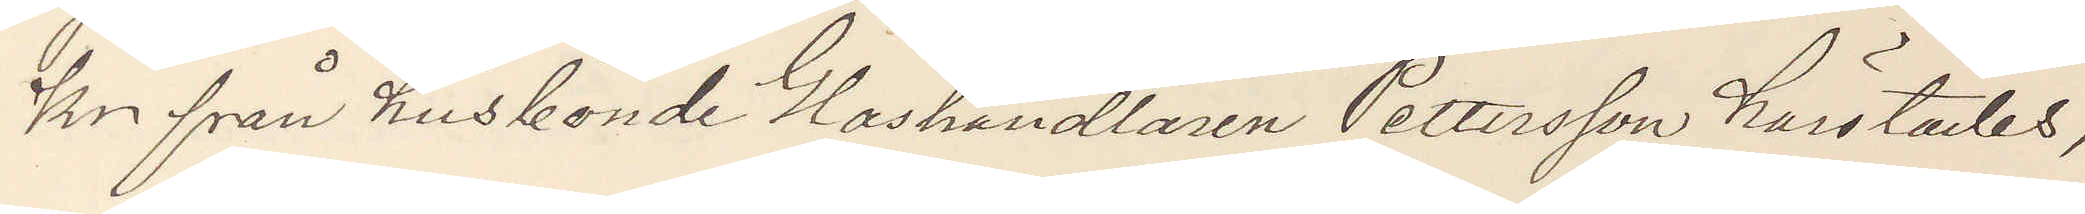Kr från husbonde Handlaren Pettersson härstädes,
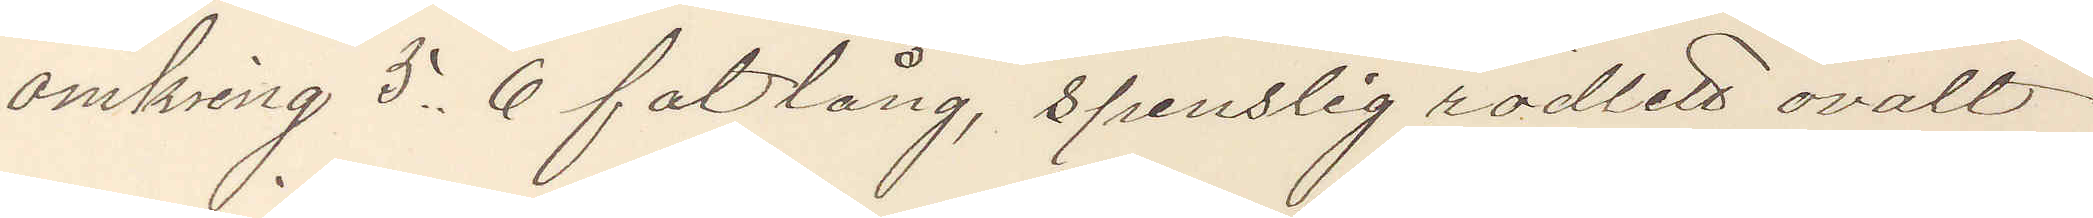omkring 5,6 fot lång, spenslig rödlett ovalt
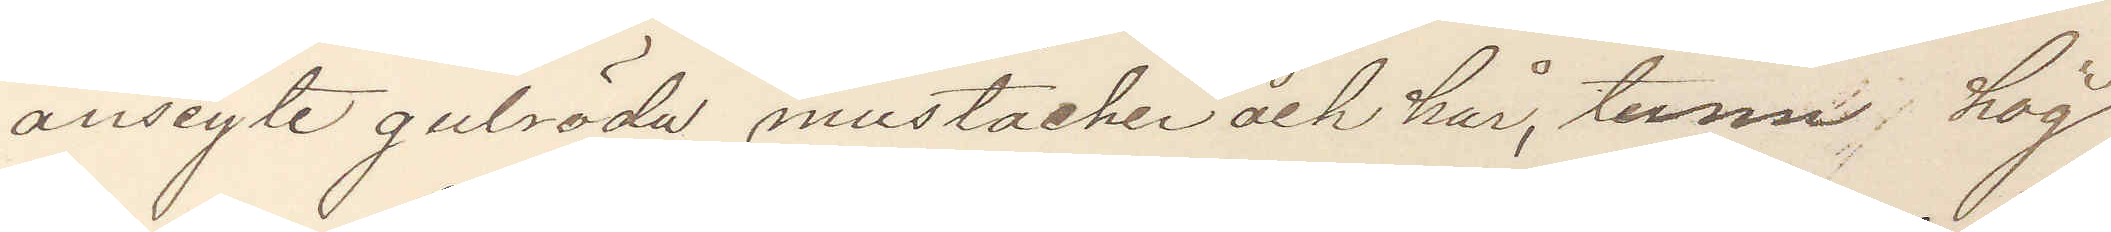ansigte gulröda mustacher och hår, tunn hög
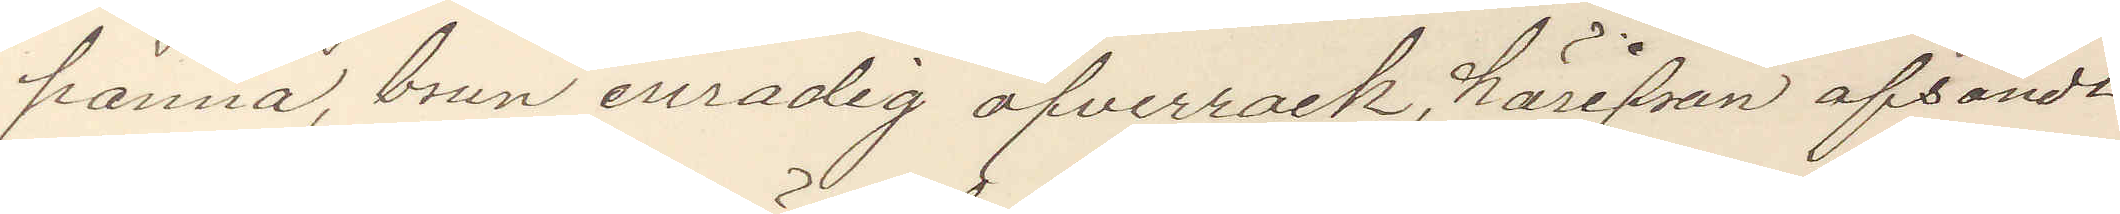panna, brun enradig öfverrock, härifrån afsändt
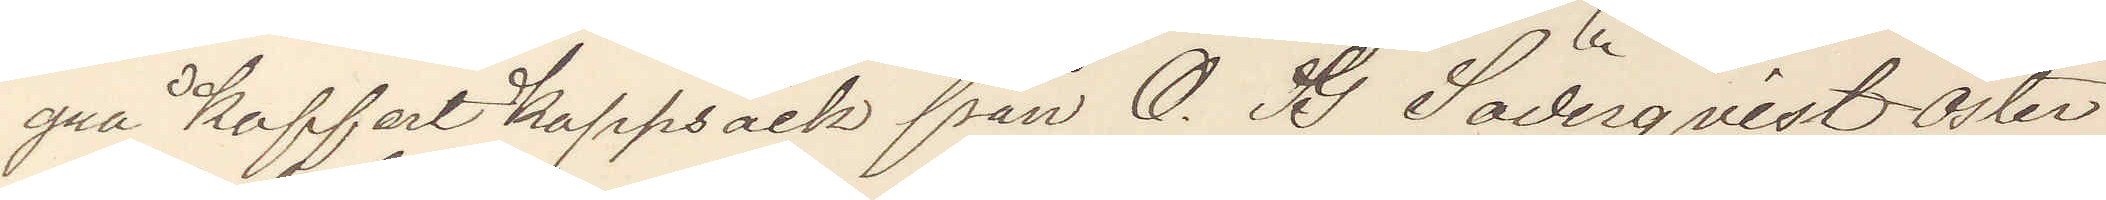grå Koffert Kappsäck från O. G. Söderqvist Öster¬
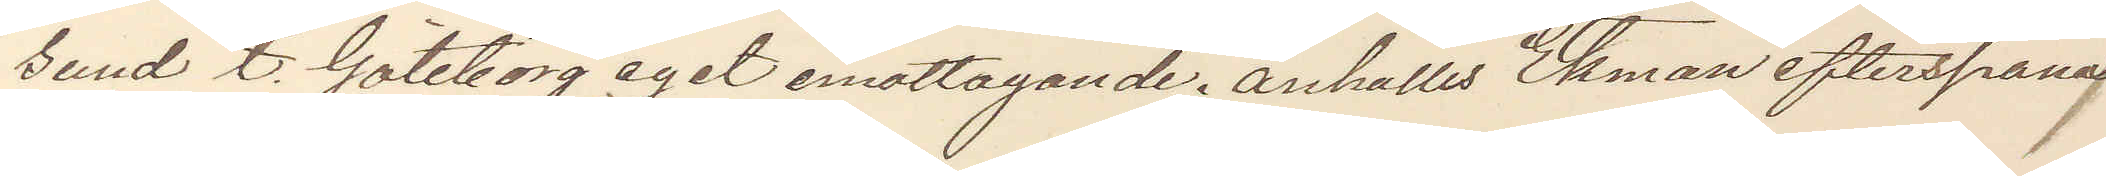sund t. Göteborg eget emottagande. anhålles Ekman efterspanas
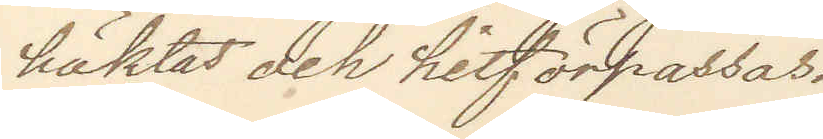häktas och hitförpassas.
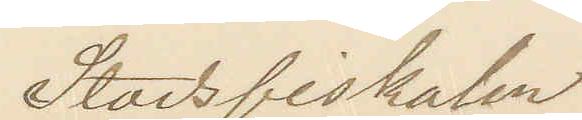Stadsfiskalen
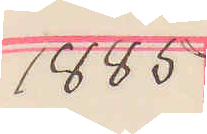1885
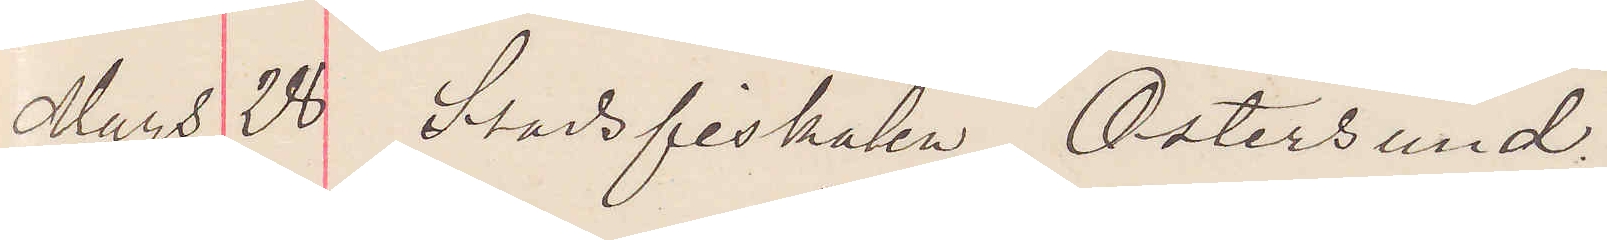Mars 28 Stadsfiskalen Östersund.
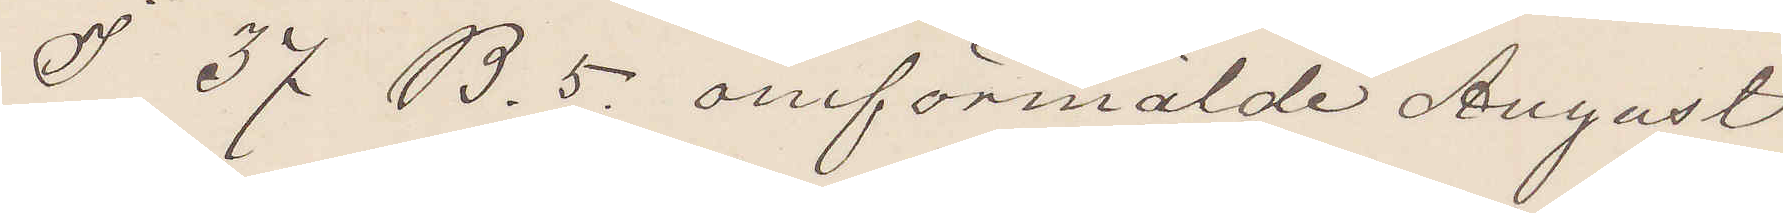I 37 B. 5. omförmälde August
